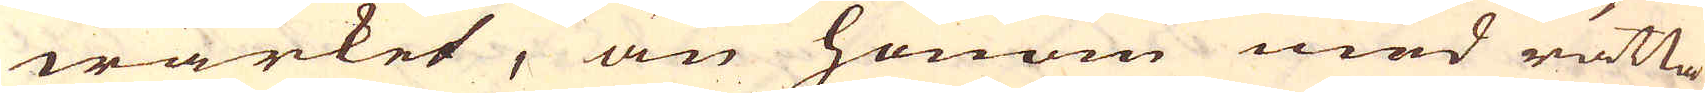wärket, än honom med rätta
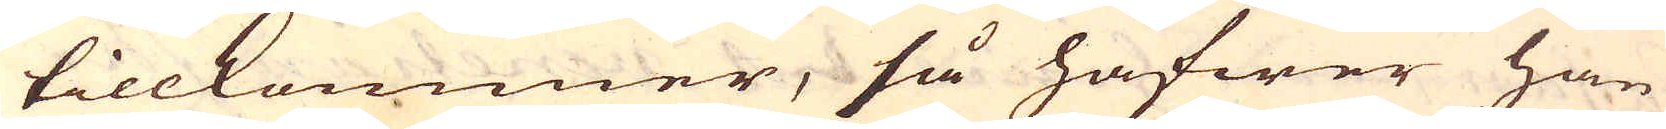tillkommer, så hafwer han
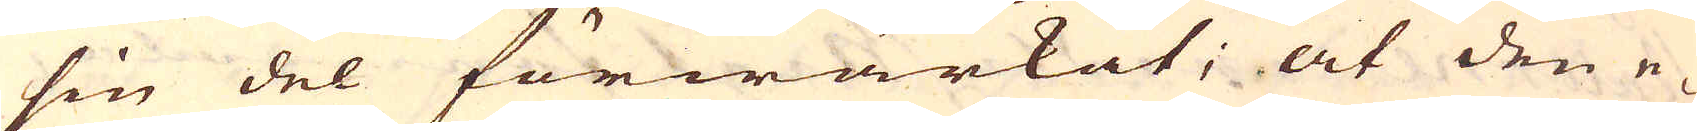sin del förwärkat; at den e-
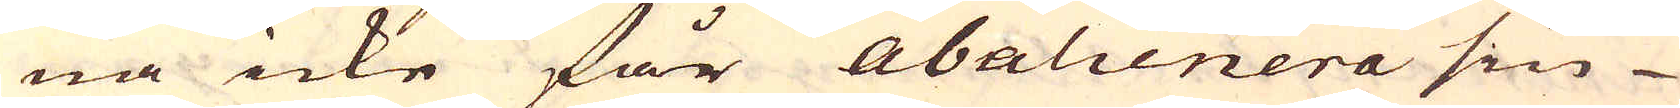na icke får abalienera sin
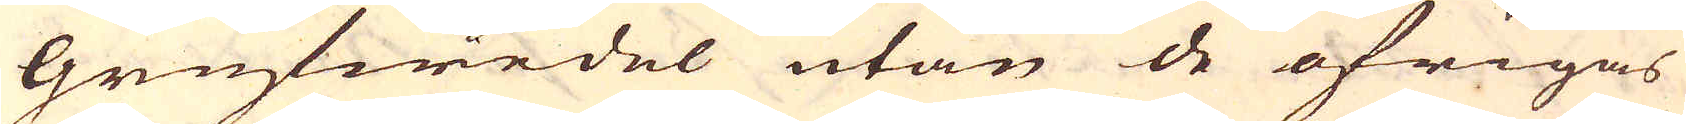Grufwedel utan de öfrigas
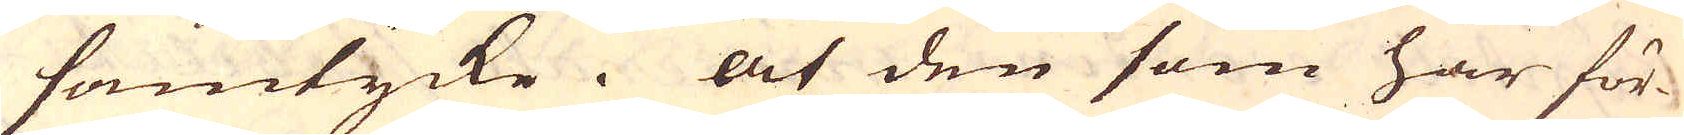samtycke. At den som har för-
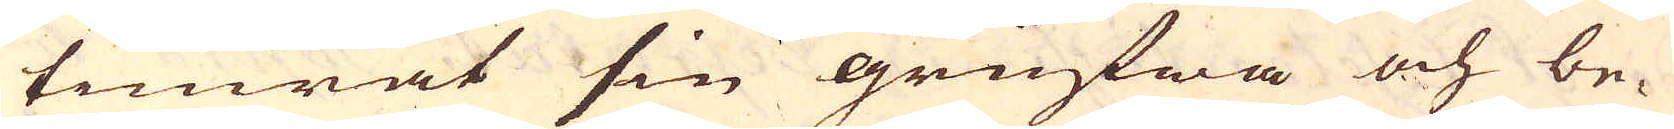timrat sin grufwa och be-
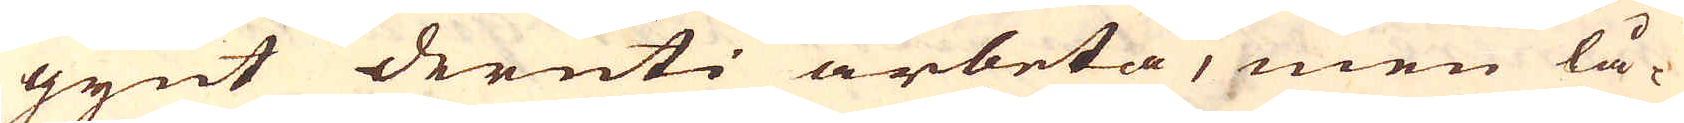gynt deruti arbeta, men lå-
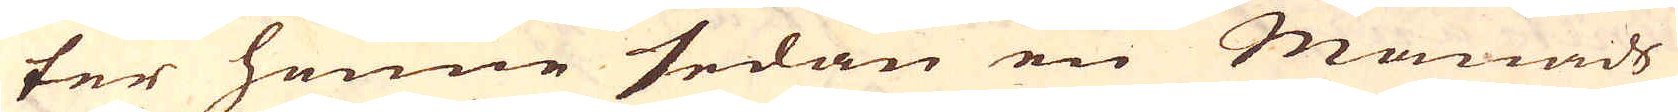ter henne sedan en Månads
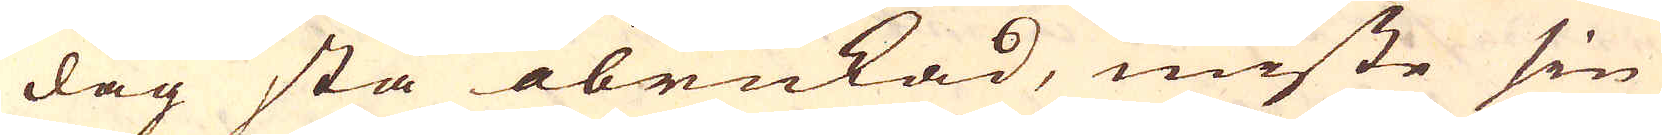dag stå obrukad, miste sin
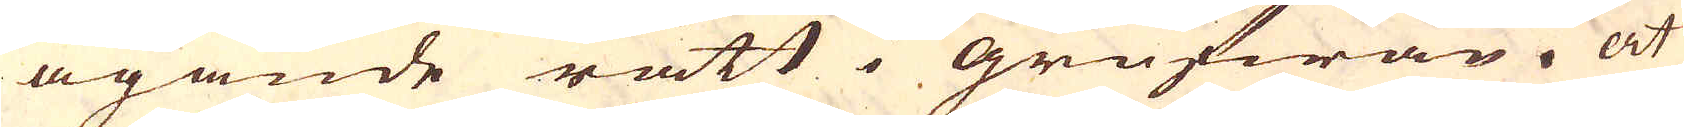ägande rätt i grufwan. At
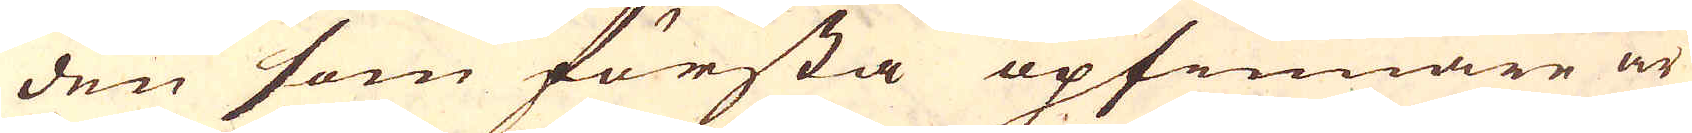den som första opfinnare är
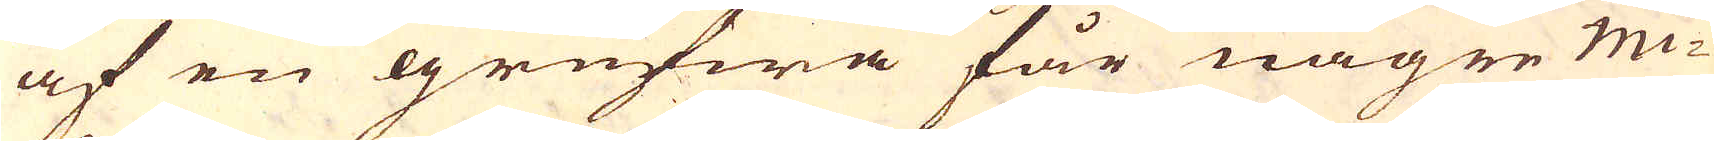af en grufwa får någre mi-
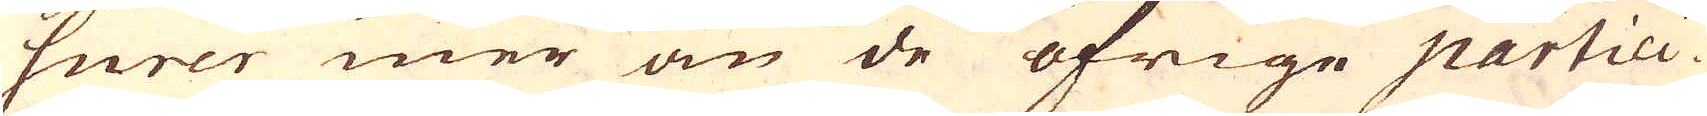surer mer än de öfrige partici-
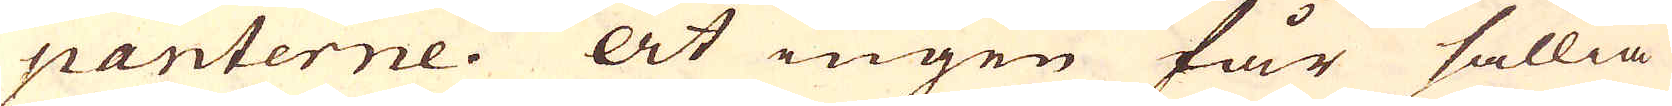panterne. At ingen får sällia
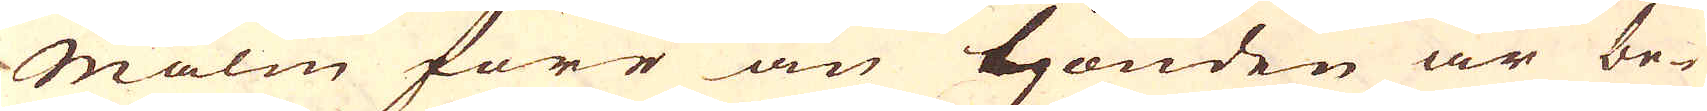malm förr än tjonden är be-
